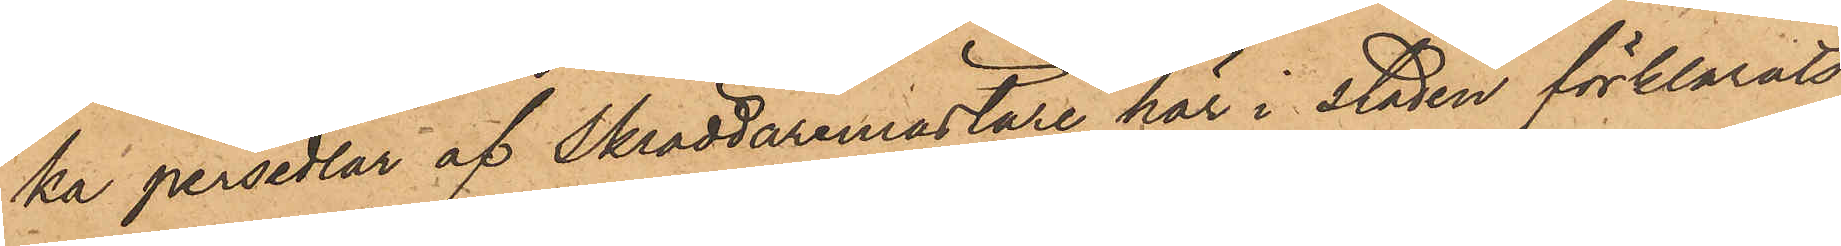ka persedlar af Skräddaremästare här i staden förklarats
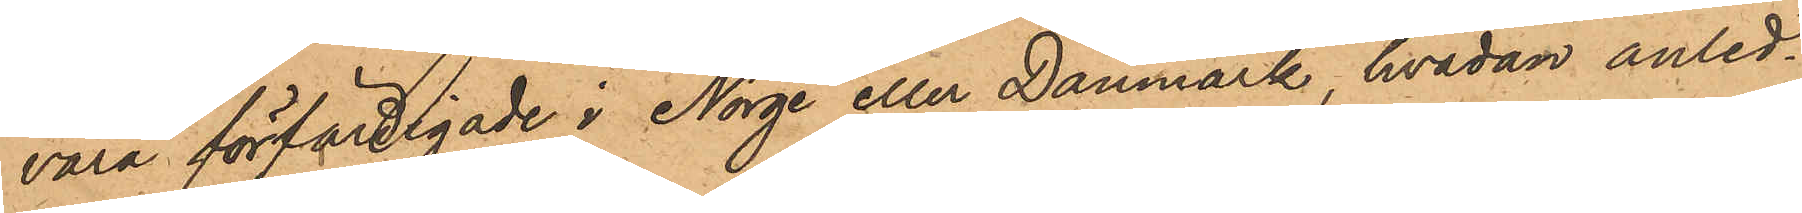vara förfärdigade i Norge eller Danmark hvadan anled¬
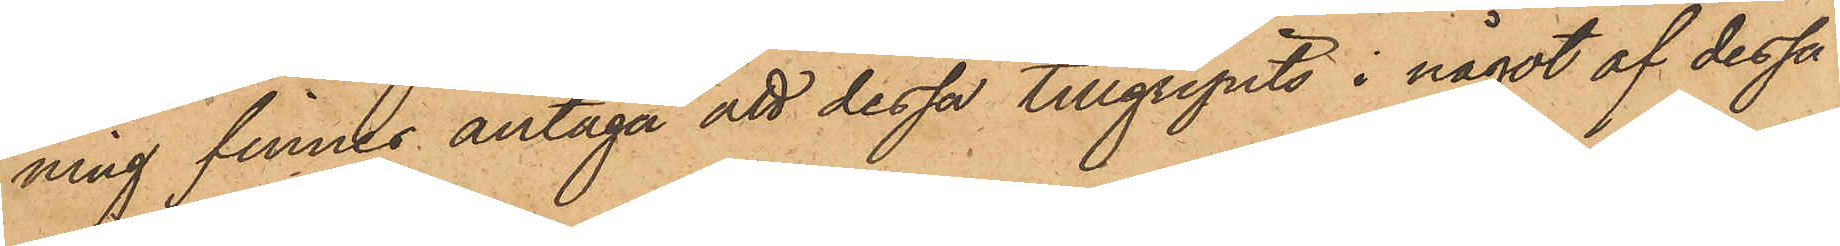ning finnes antaga att dessa tillgripits i något af dessa
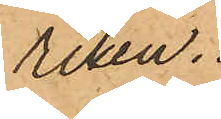riken.
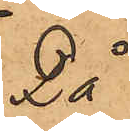Då
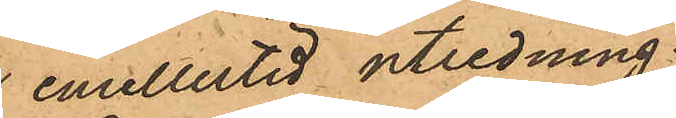emellertid utredning
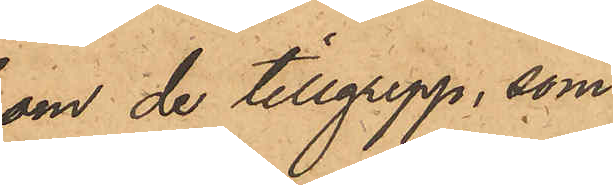om de tillgrepp, som
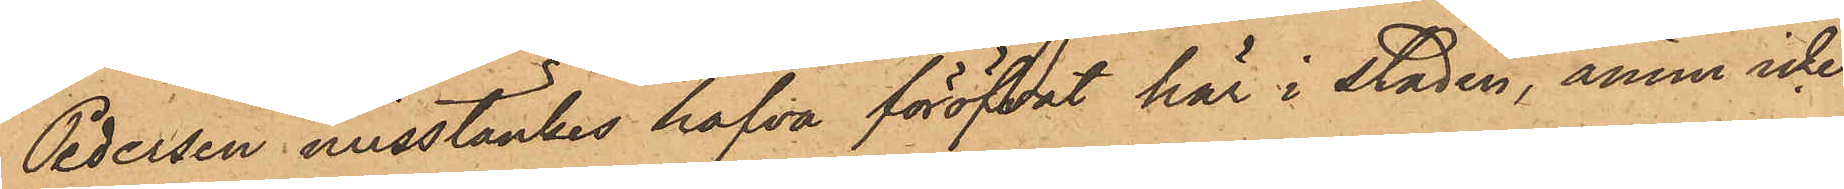Pedersen misstänkes hafva föröfvat här i staden, ännu icke
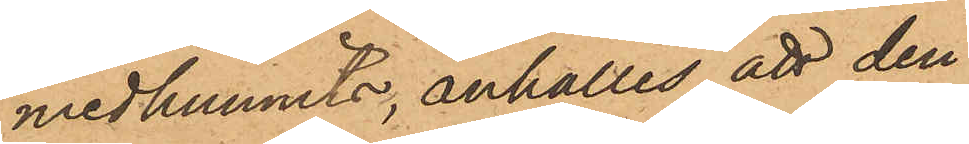medhunnits, anhålles att den
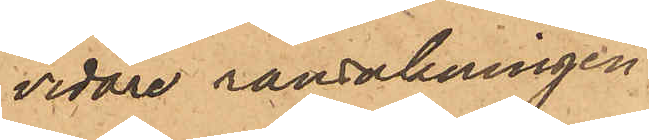vidare ransakningen
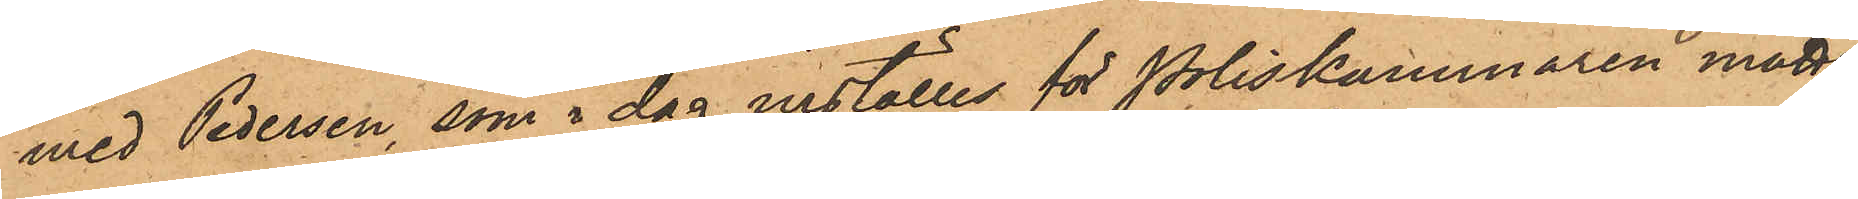med Pedersen, som i dag inställas för Poliskammaren måtte
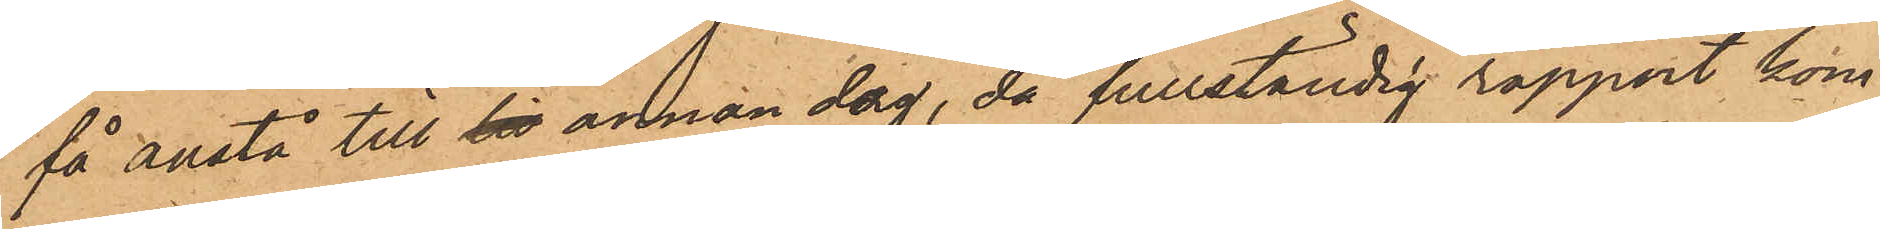få anstå till sin annan dag, då fullständig rapport kom¬
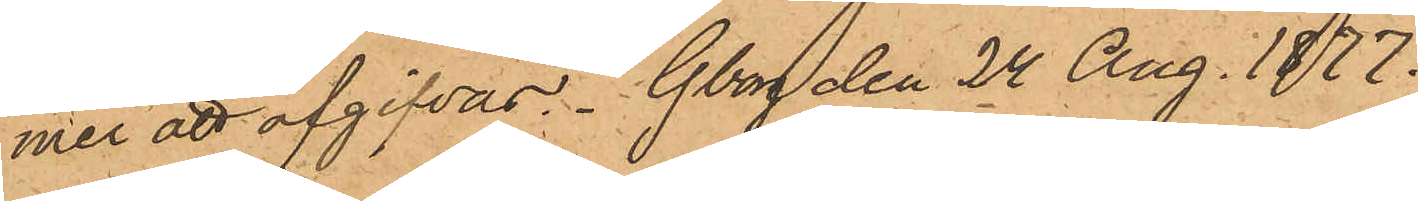mer att afgifvas. Gborg den 24 Aug. 1877.
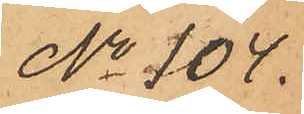No 704.
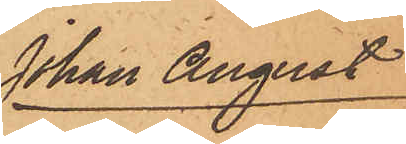Johan August
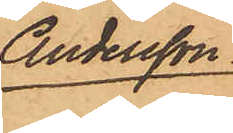Andersson
